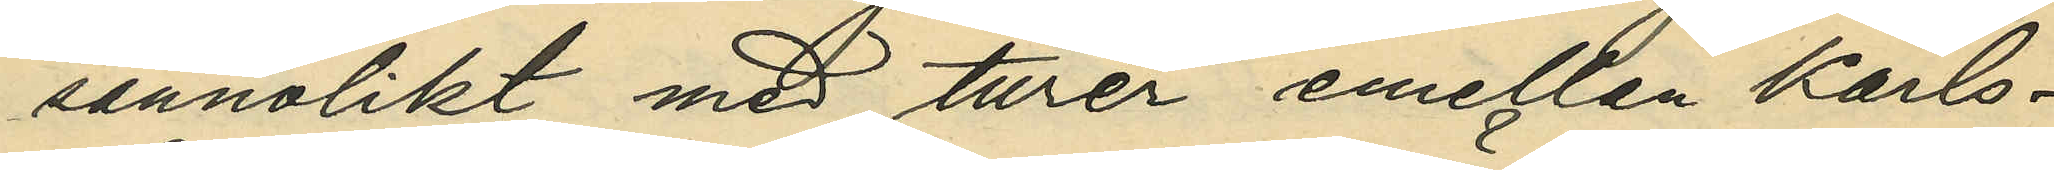sannolikt med turer emellan Karls¬
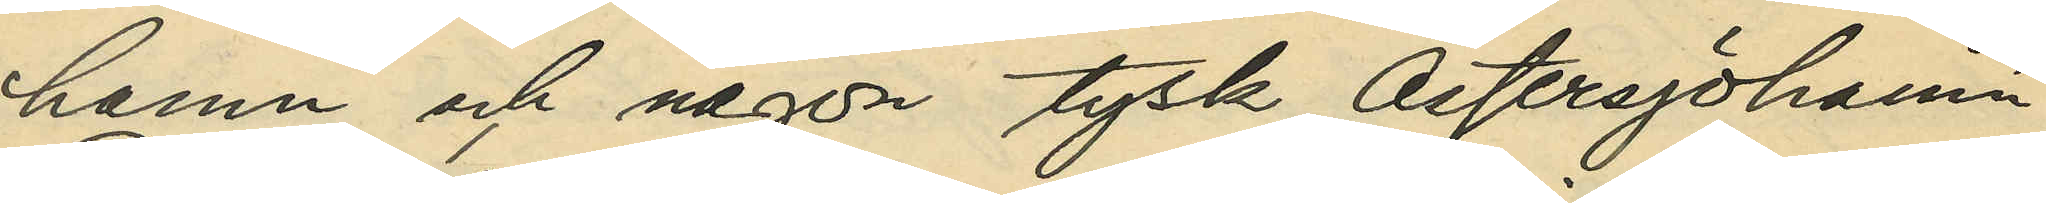hamn och någon tysk Östersjöhamn;
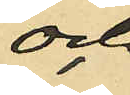och
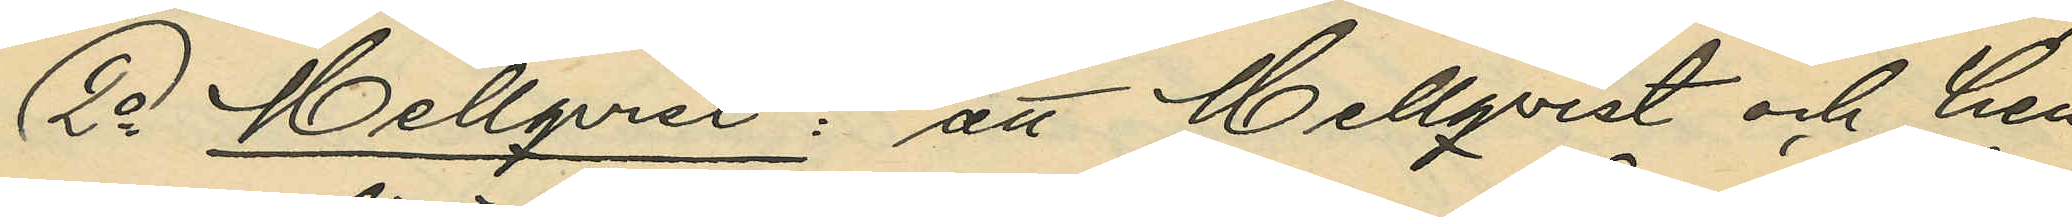2o Mellqvist: att Mellqvist och hen¬
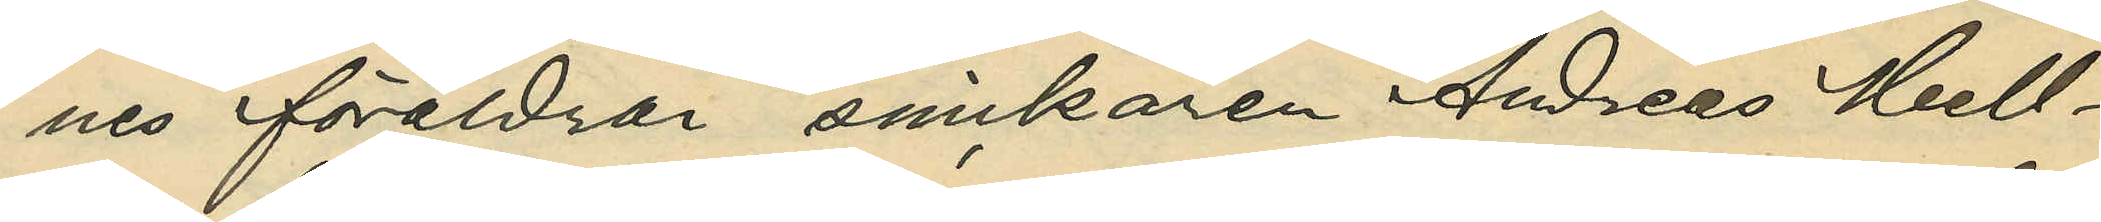nes föräldrar snickaren Andreas Mell¬
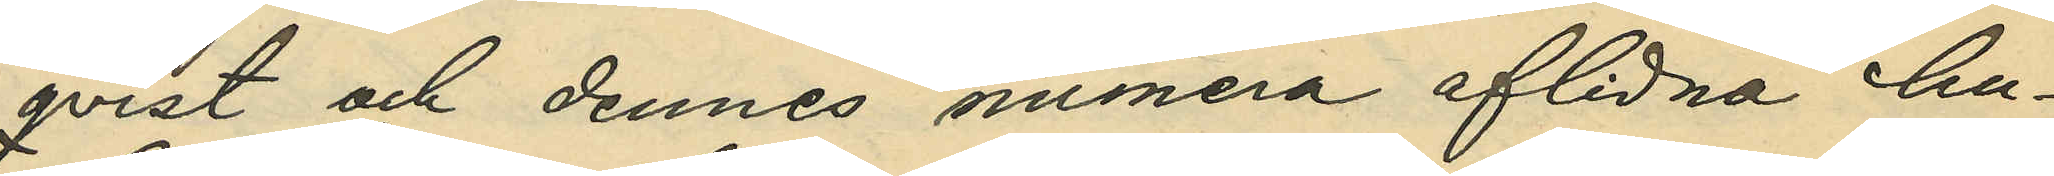qvist och dennes numera aflidna hu¬
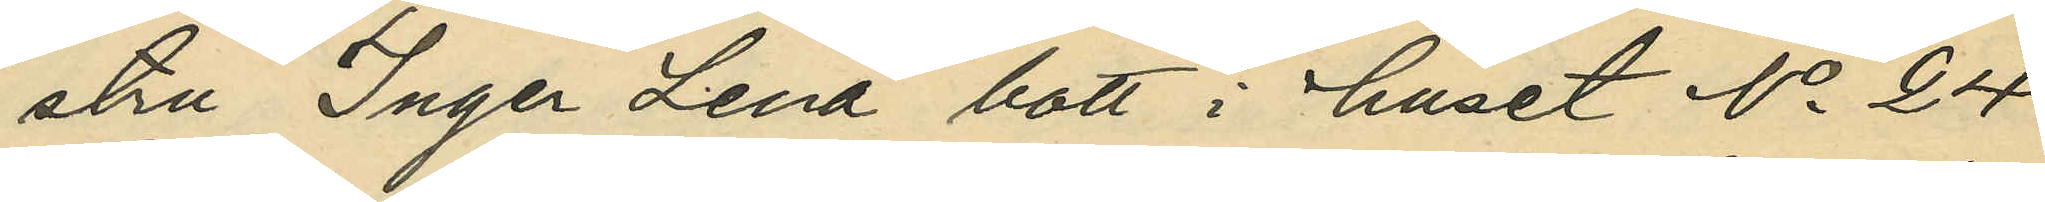stru Inger Lena bott i huset No 24
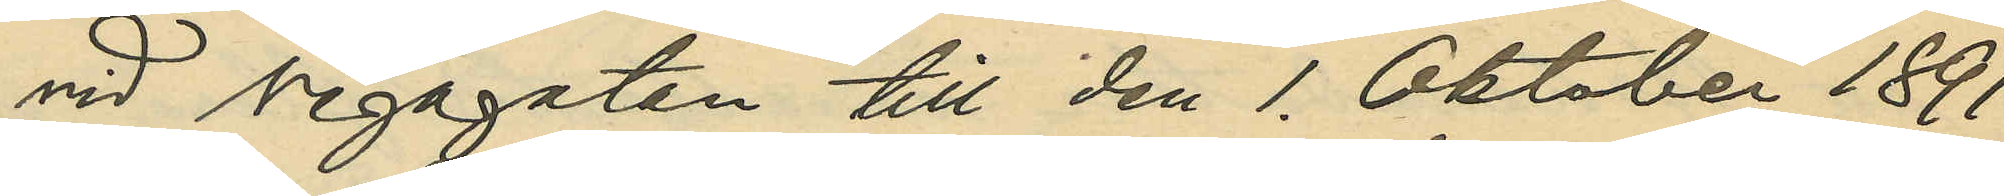vid Vegagatan till den 1. Oktober 1891
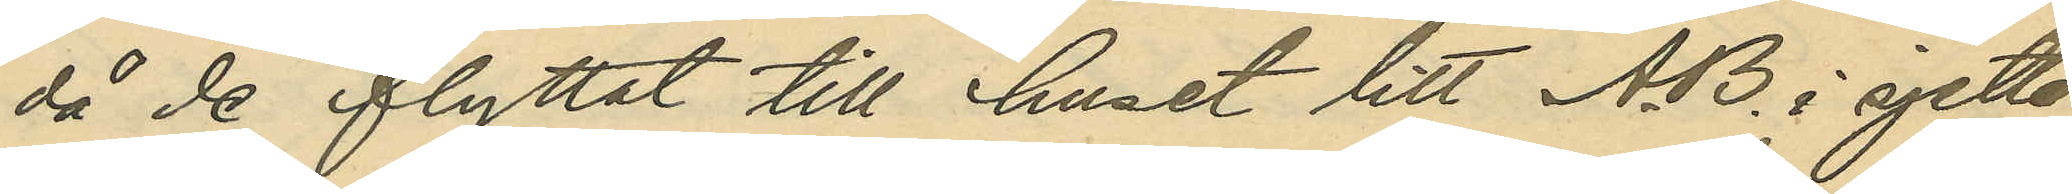då de flyttat till huset Litt. AB. i sjette
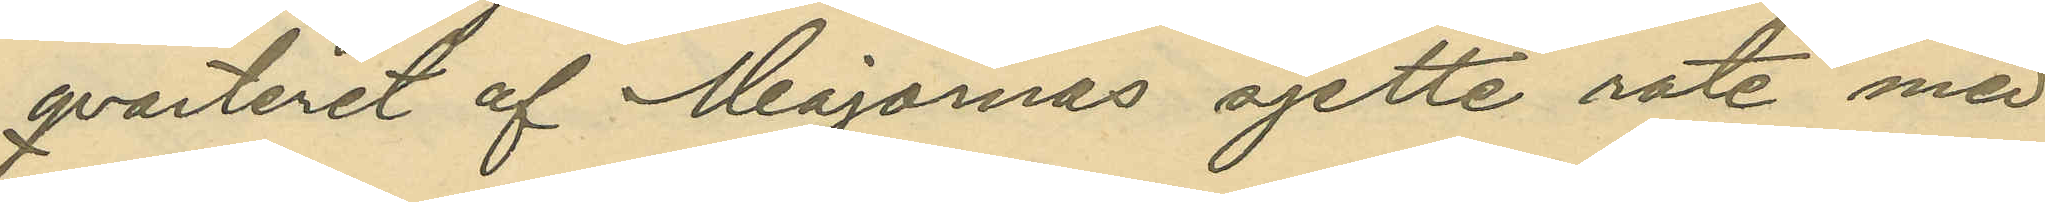qvarteret af Majornas sjette rote med
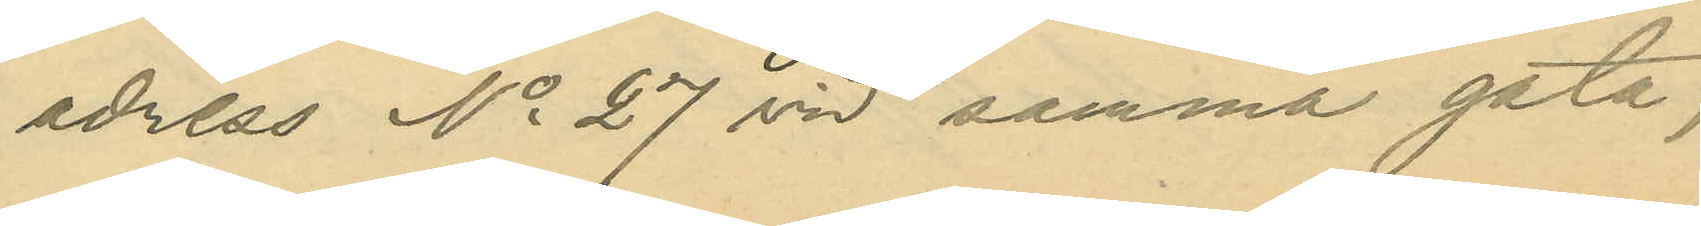adress No 27 vid samma gata;
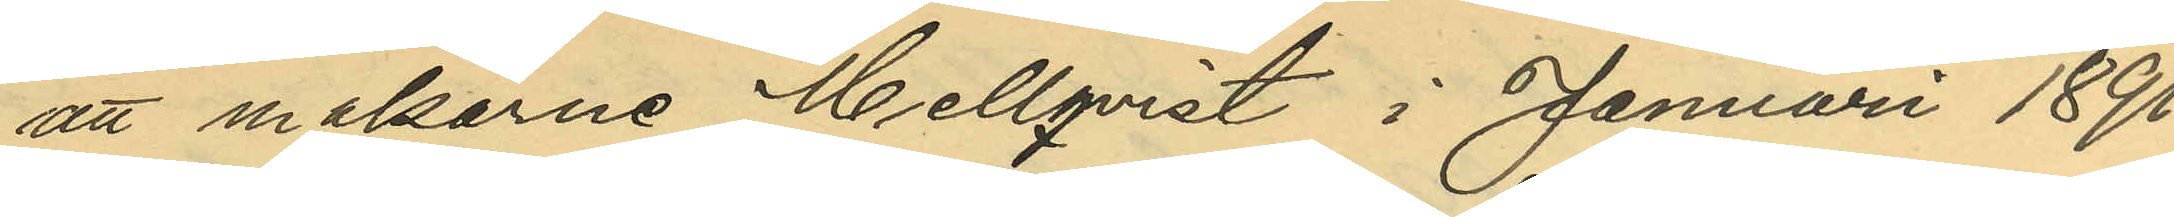att makarne Mellqvist i Januari 1891
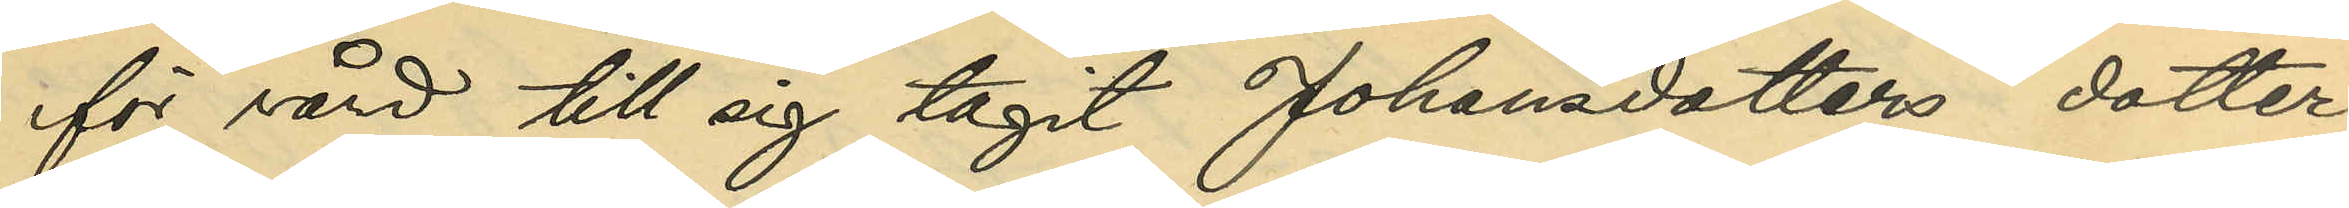för vård till sig tagit Johansdotters dotter
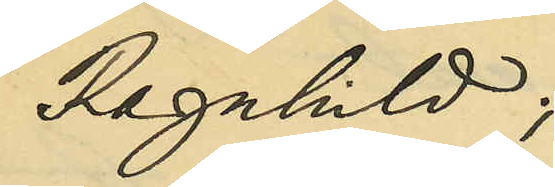Ragnhild;
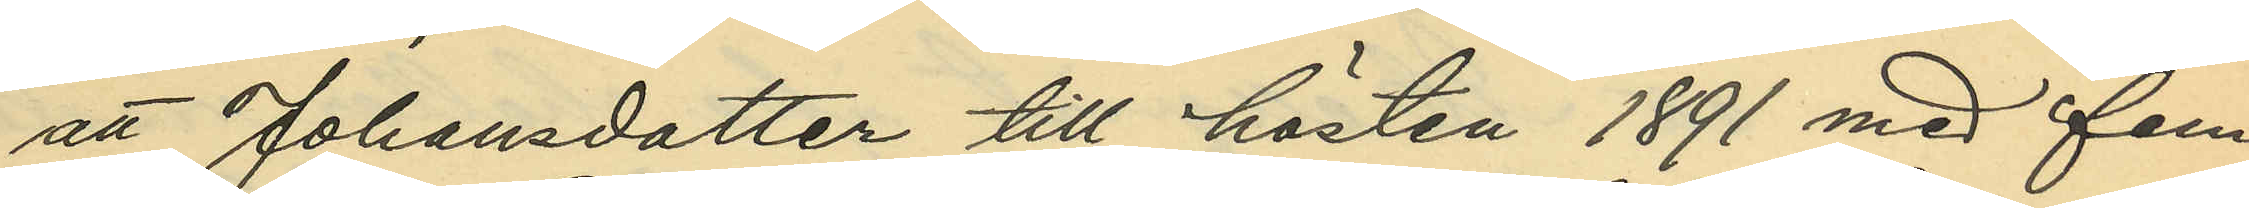att Johansdotter till hösten 1891 med fem
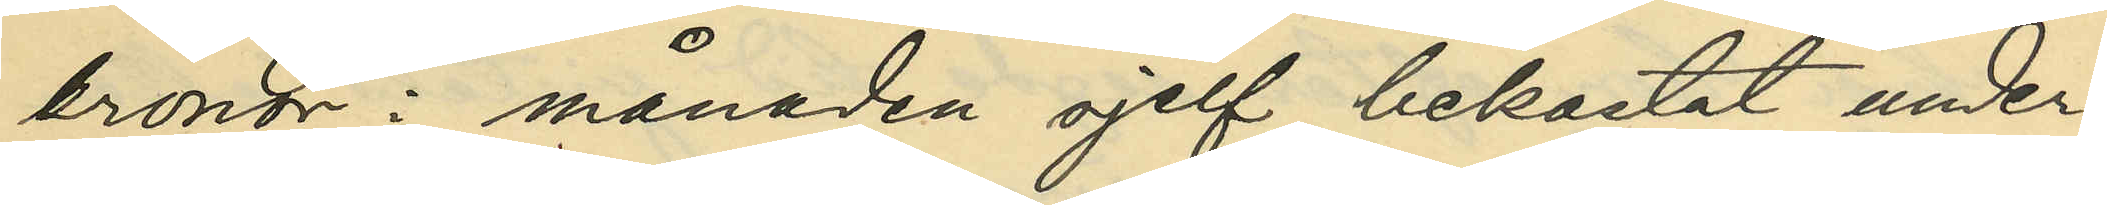kronor i månaden sjelf bekostat under¬
